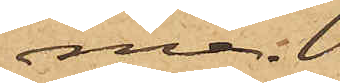ma.
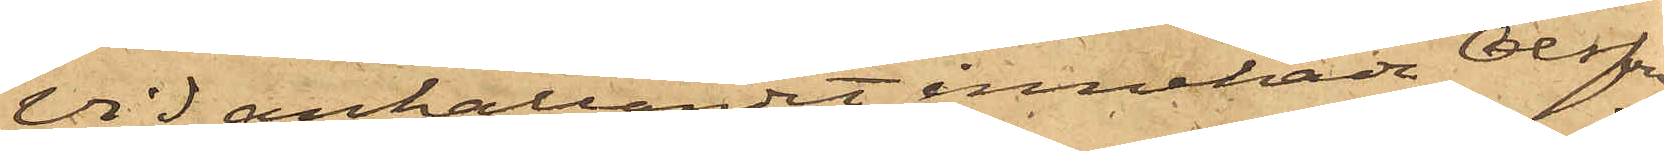Vid anhållandet innehade Olsson
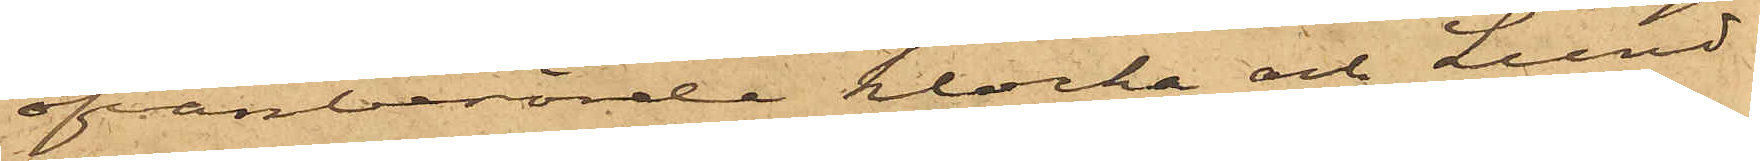ofvanberörde klocka och Lund¬
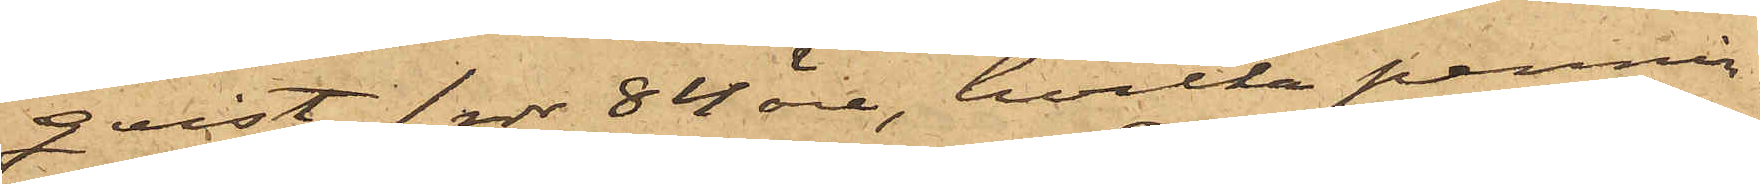qvist 1 rdr 84 öre, hvilka pennin¬
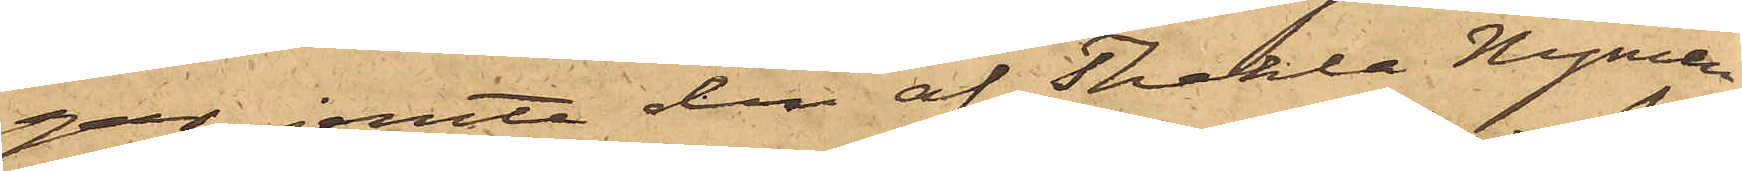gar jemte den af Thekla Nyman
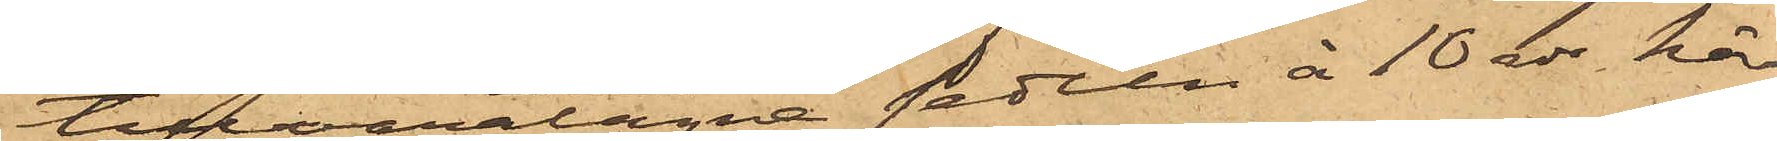tillvaratagna sedeln à 10 rdr, här
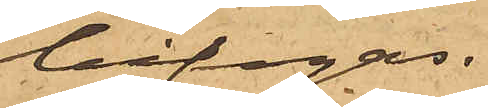bifogas.
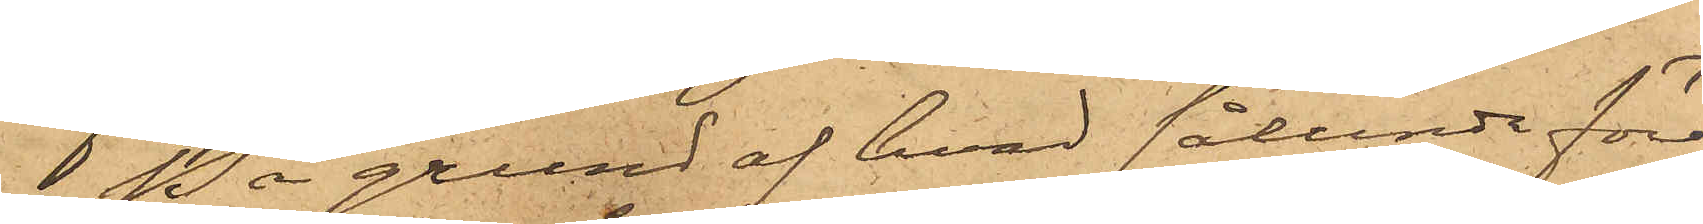På grund af hvad sålunda före¬
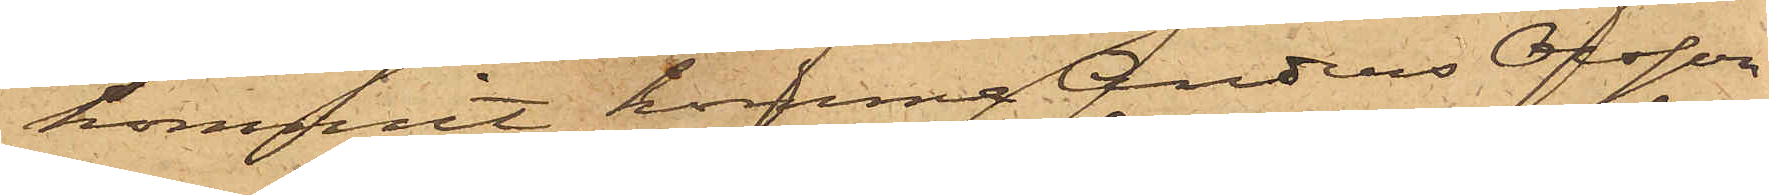kommit, komma Anders Olsson
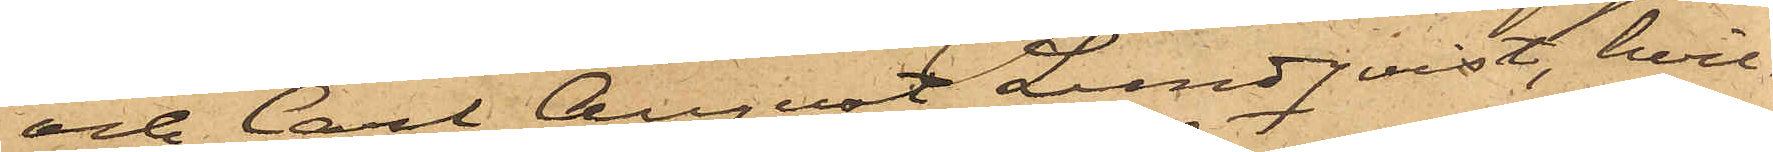och Carl August Lundqvist, hvil¬
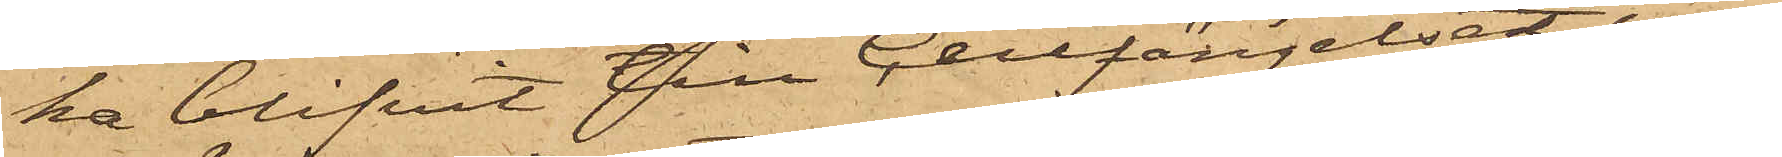ka blifvit till Cellfängelset in¬
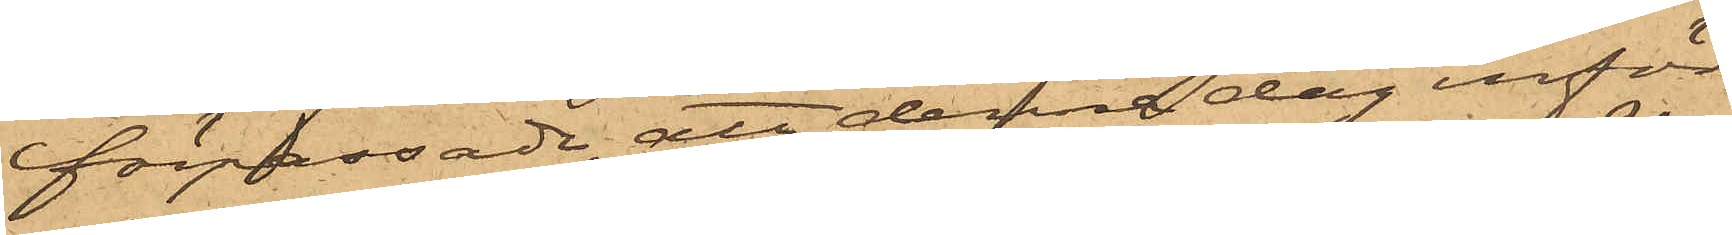förpassade, att denna dag inför
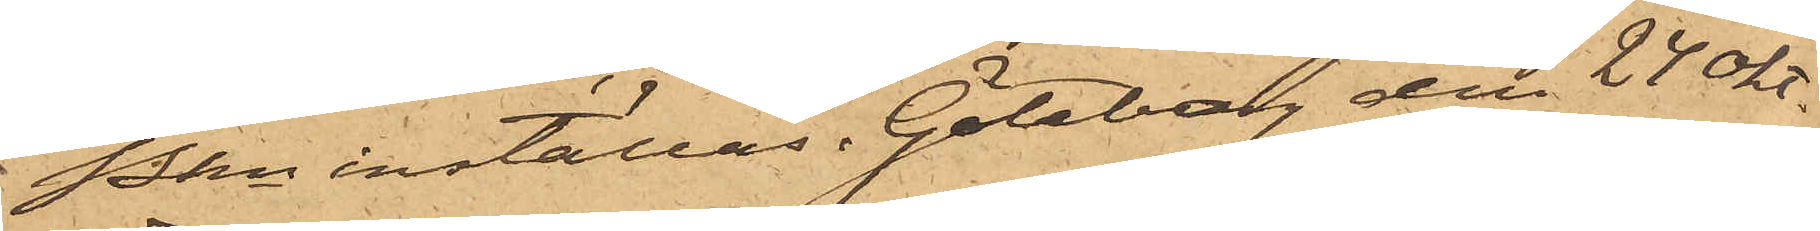Pkn inställas. Göteborg den 24 Okt.
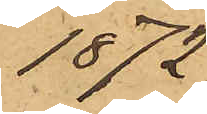1872.
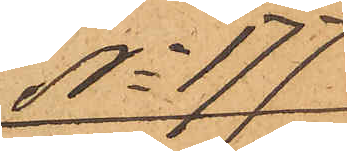No 177
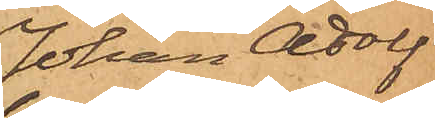Johan Adolf
